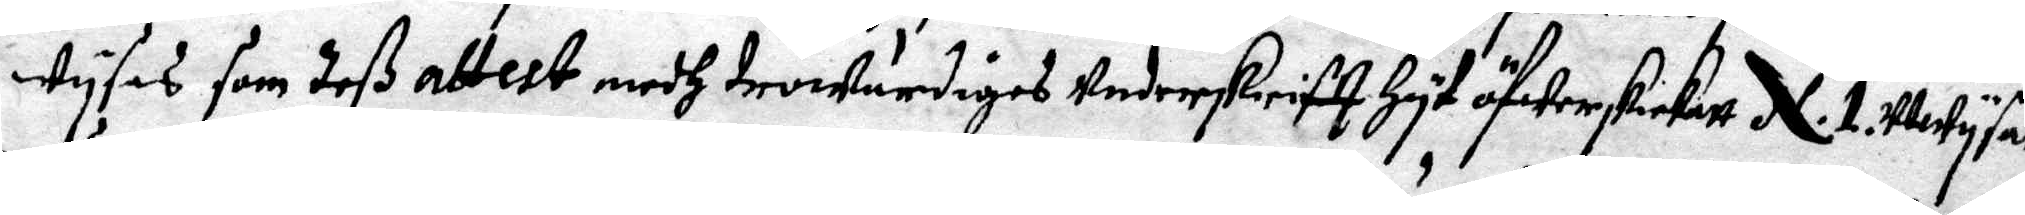wysas som deV attest medh trowärdiges underskriftt Hyt öfwerskickatt N. 1 utwysar.
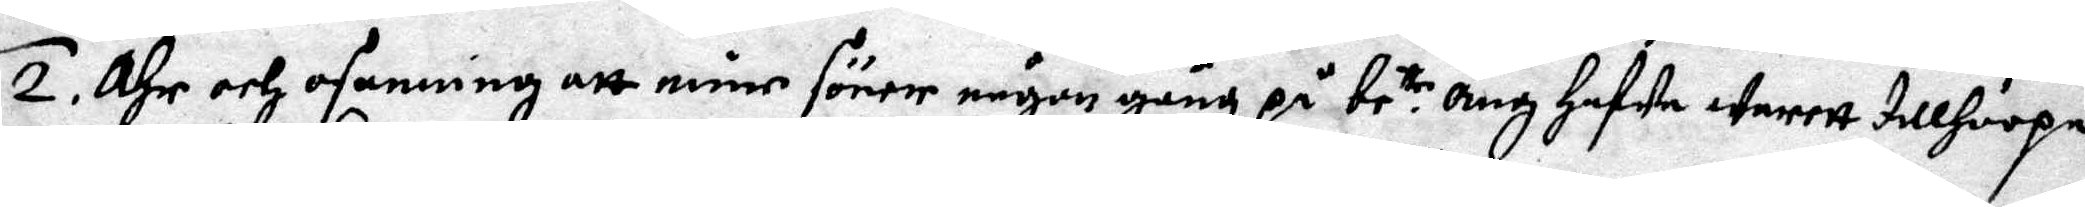2. Ähr och osanning att mine söner någon gång på be.te äng Hafwa warett tillhoopa
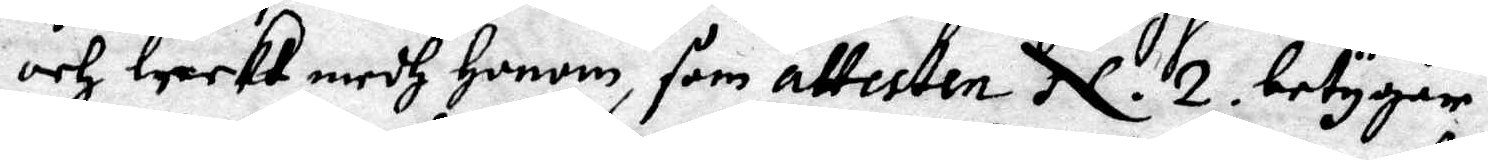och leekt medh Honom, som attesten N. 2. betygar.
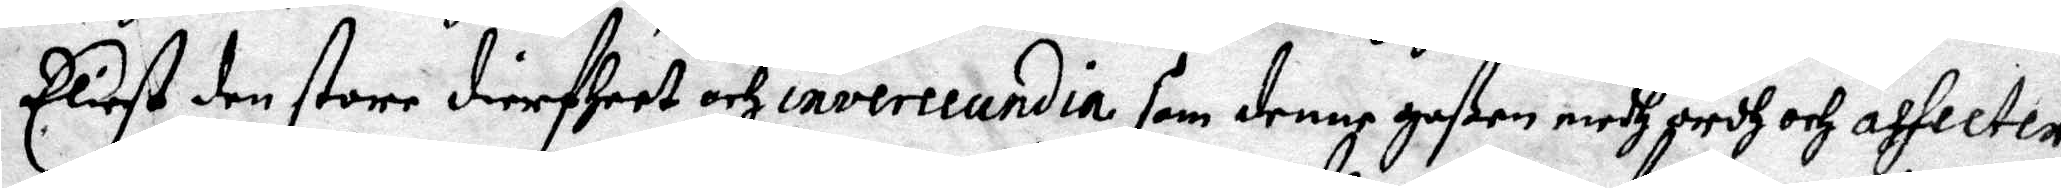Eliest den store dierfheet och inverecundia som denne goßen medh ordh och afhceter
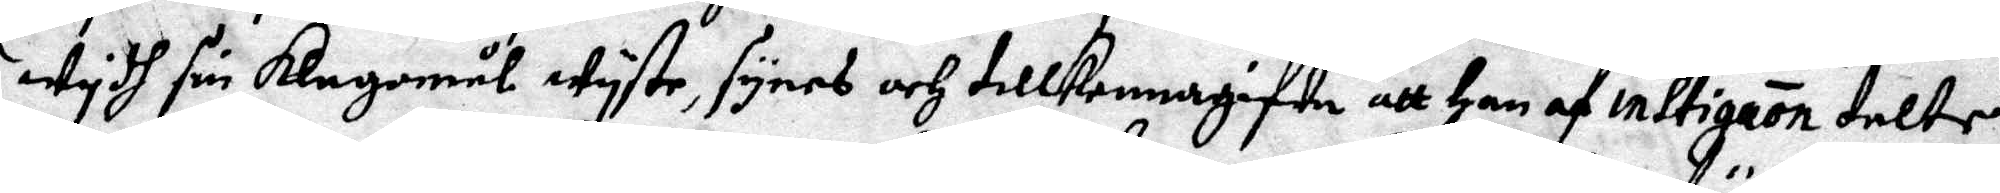wydh sin klagomål wyste, synes och tillkennagifwa att Han af inltigaon talte.
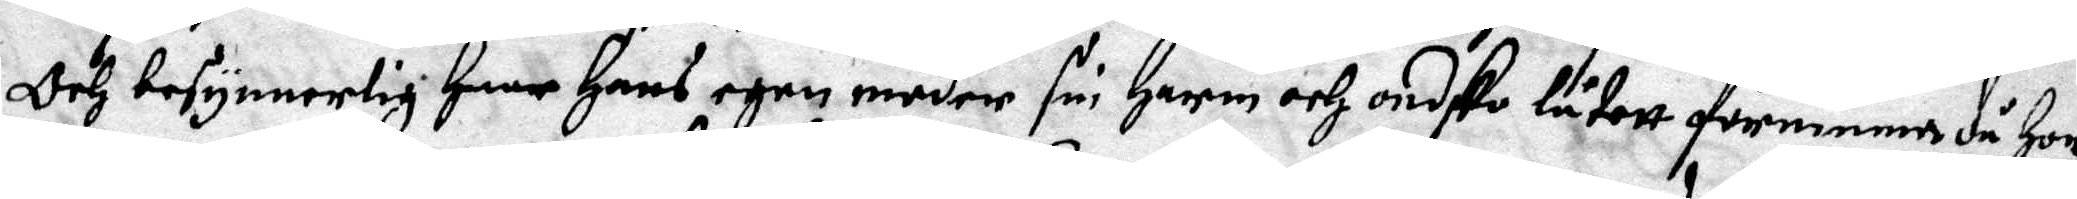Och besynnerlig haar Hans egen moder sin Harm och ondsko låtett förnimma då Hon
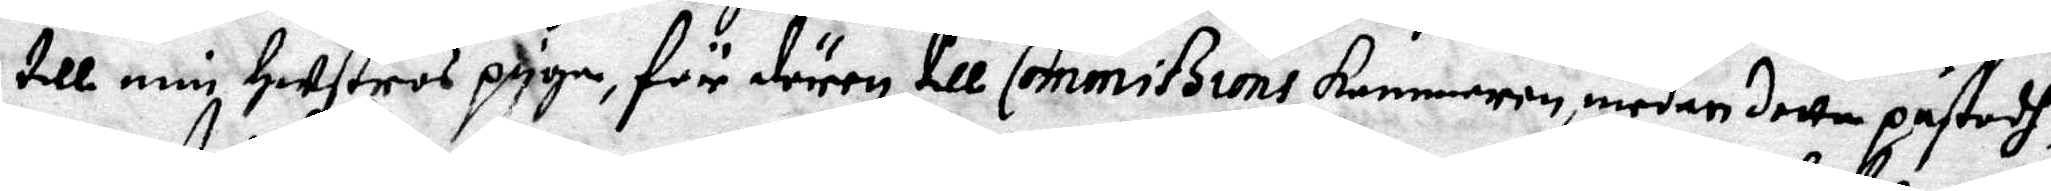till min Hustros piga, för dörren till Commißions kammarens medan detta påstodh,
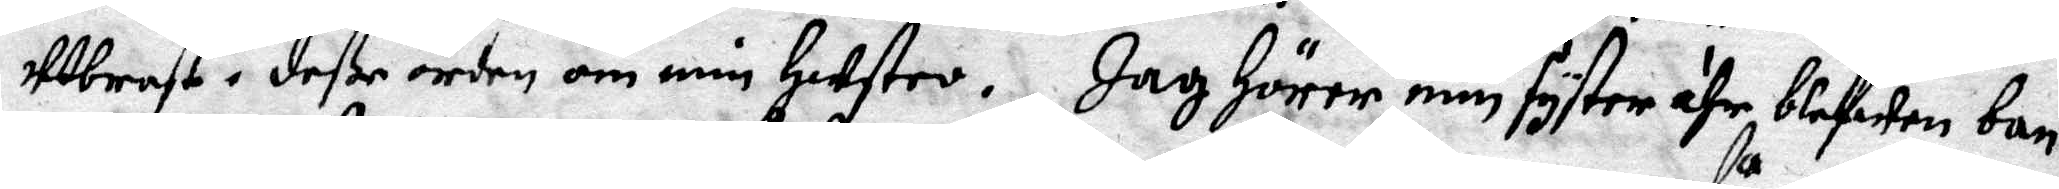utbrast i deße orden om min Hustro. Jag Hörer min syster ähr blefwen ban¬
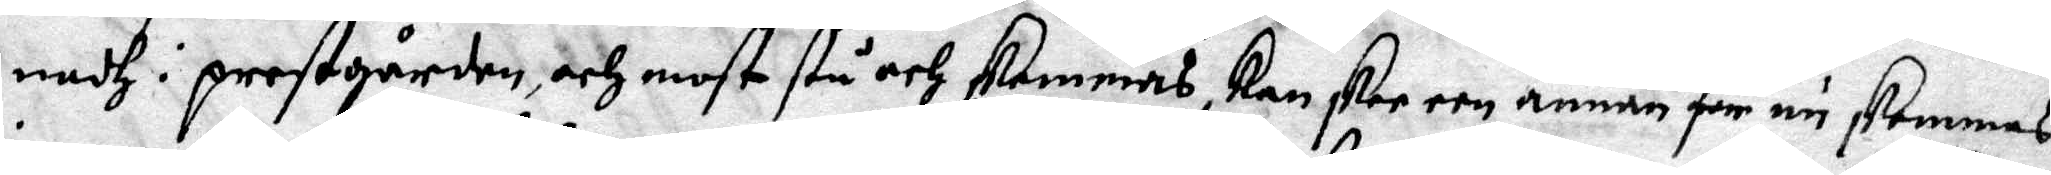nadh i prestgården, och most stå och skemmas, kanskee een annan får nu skemmas
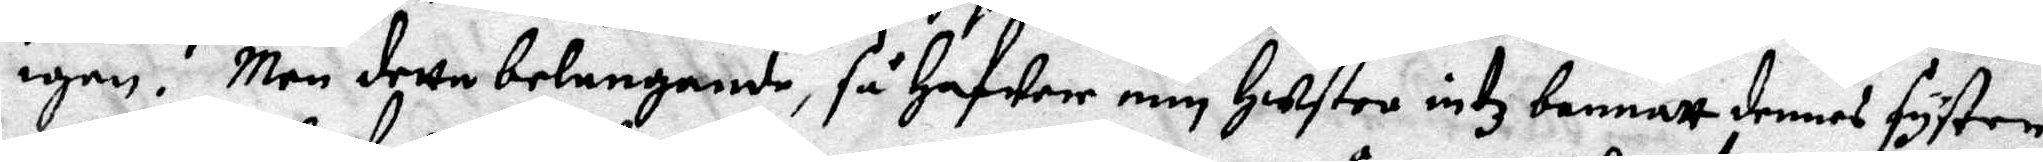igen. Men detta belangande, så Hafwer min Hustro intz bannatt dennes syster,
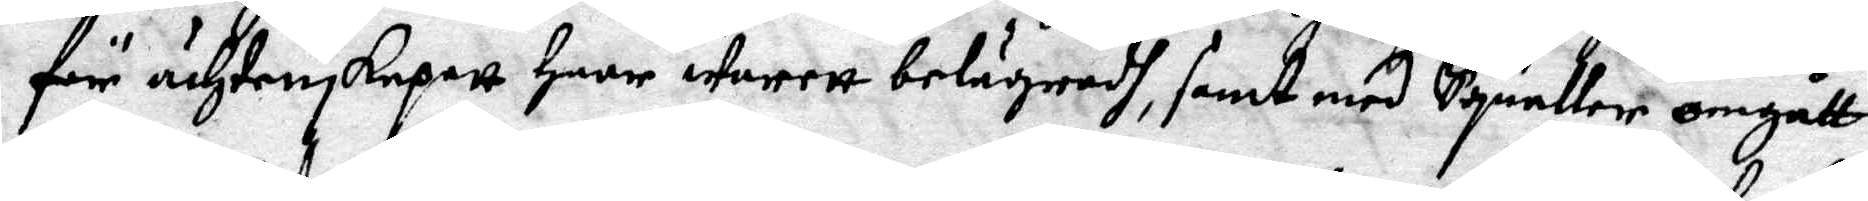för ächtenskapett Haar warett belägradh, samt med Squaller omgått.
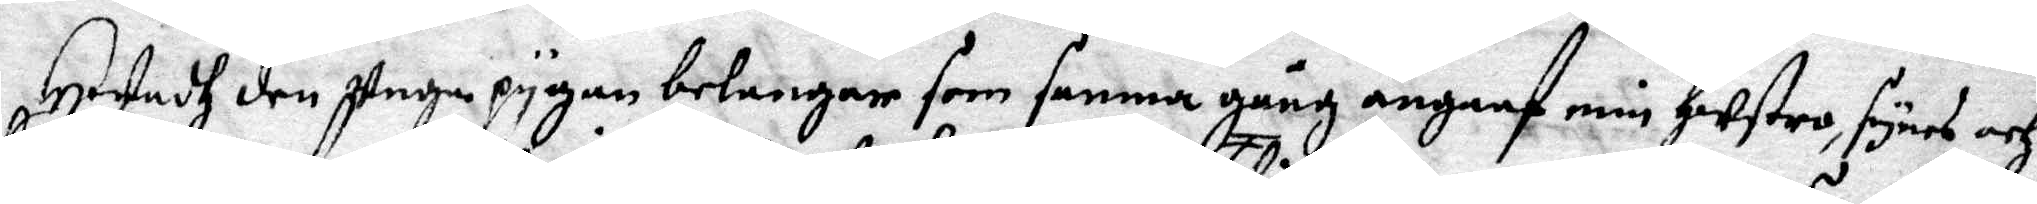Hwadh den unga pygan belanar som samma gång engaaf min Hustro, synes och
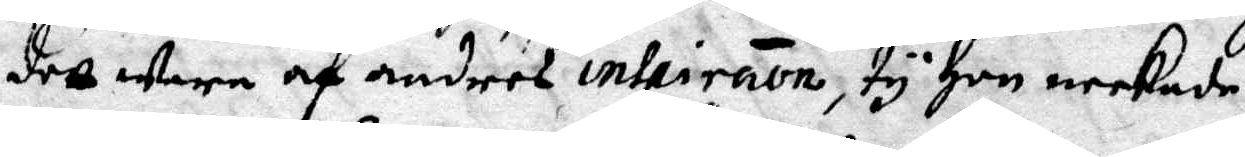dett wara af andres intpiration, ty Hon neekade
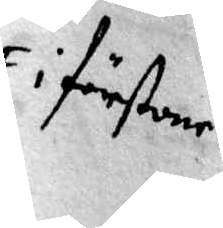i förstone
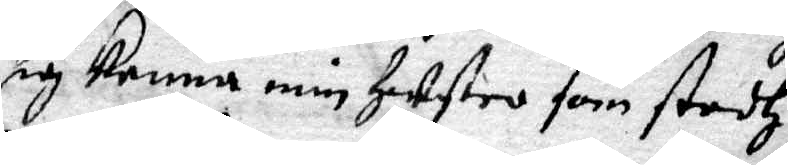sig kenna min Hustro som stodh
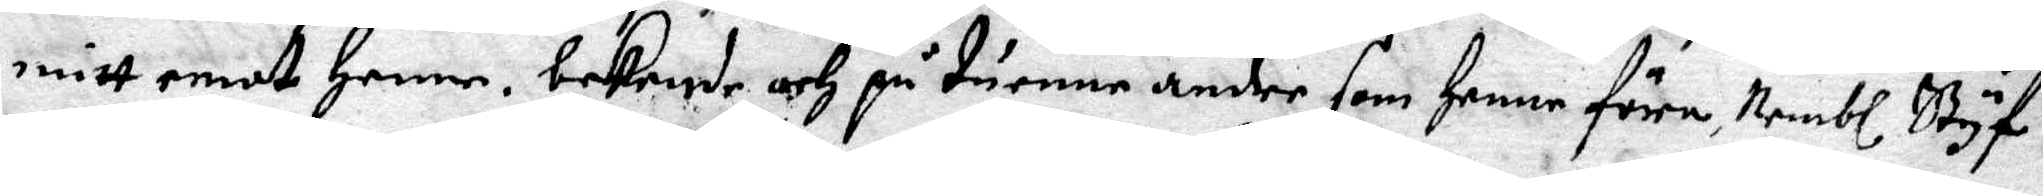mitt emot Henne. bekende och på tuenne andre som Henne före, Nembl. Styf¬
